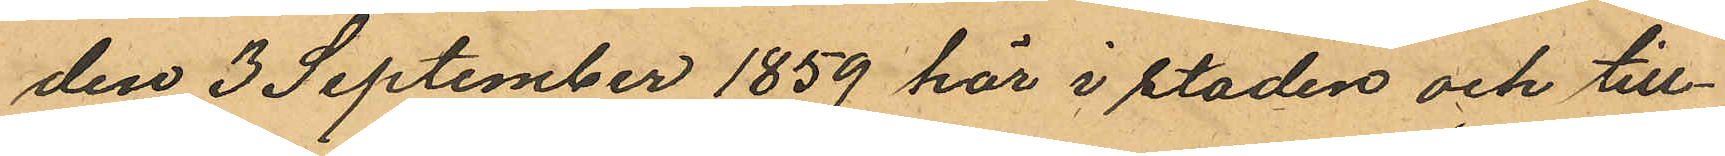den 3 September 1859 här i staden och till¬
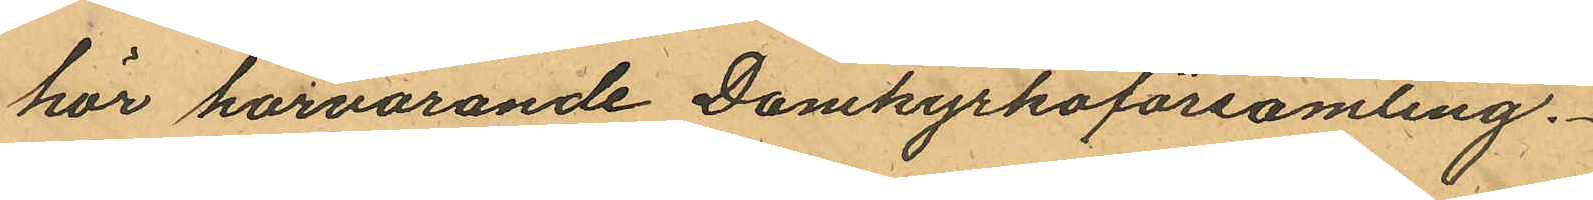hör härvarande Domkyrkoförsamling.
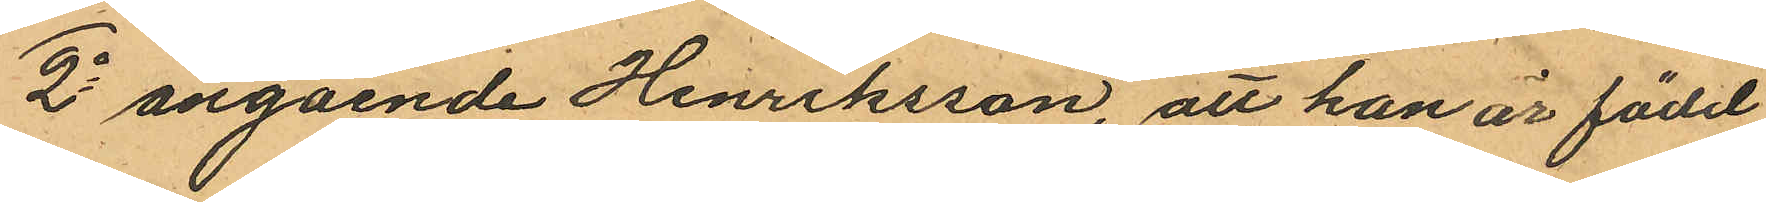2o angående Henriksson, att han är född
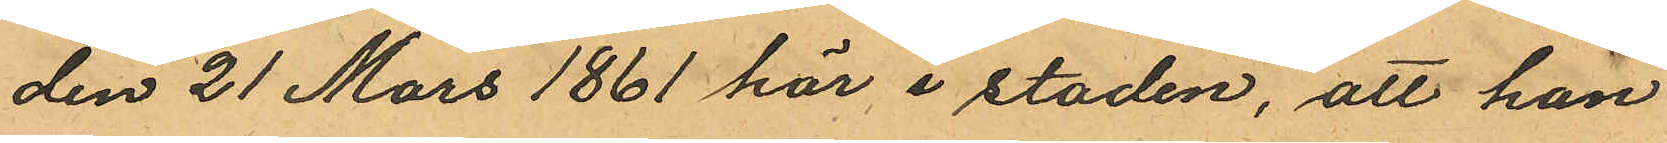den 21 Mars 1861 här i staden, att han
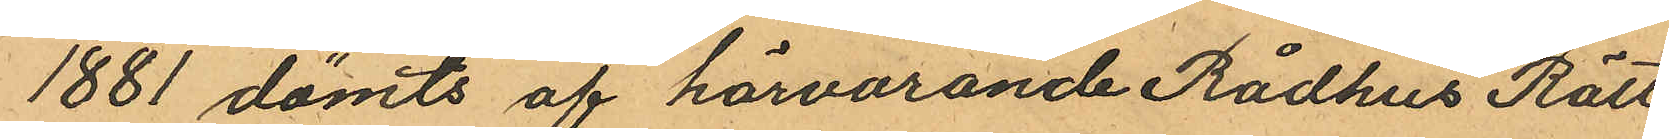1881 dömts af härvarande Rådhus Rätt
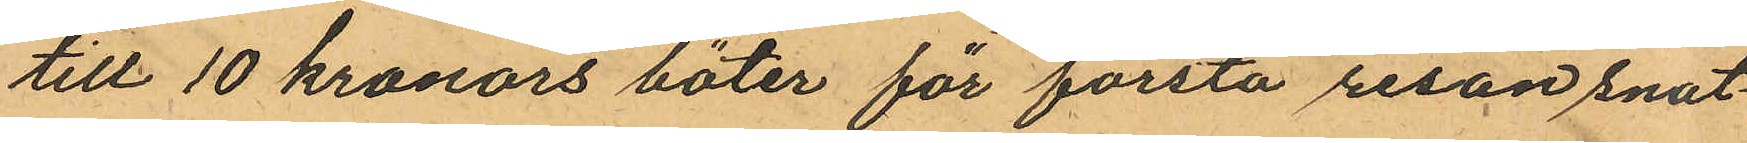till 10 kronors böter för första resan snat¬
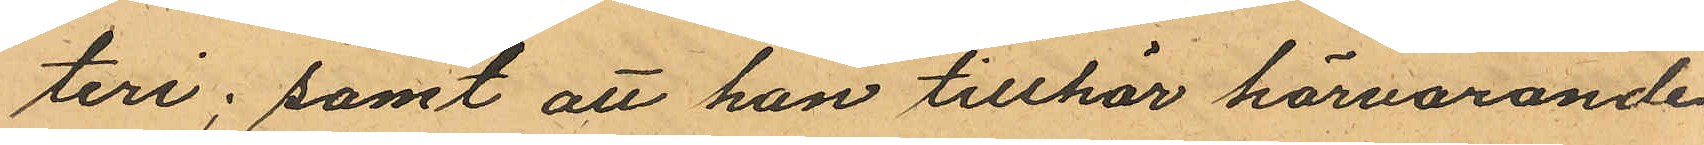teri; samt att han tillhör härvarande
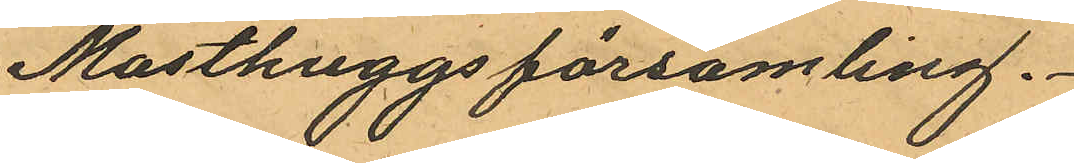Masthuggsförsamling.
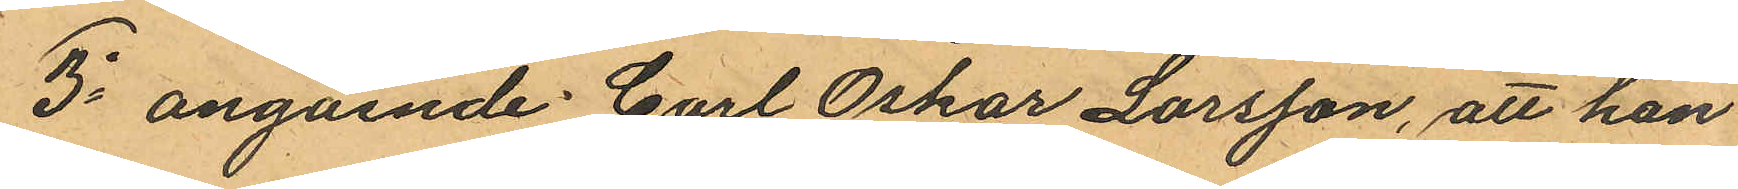3o angående Carl Oskar Larsson, att han
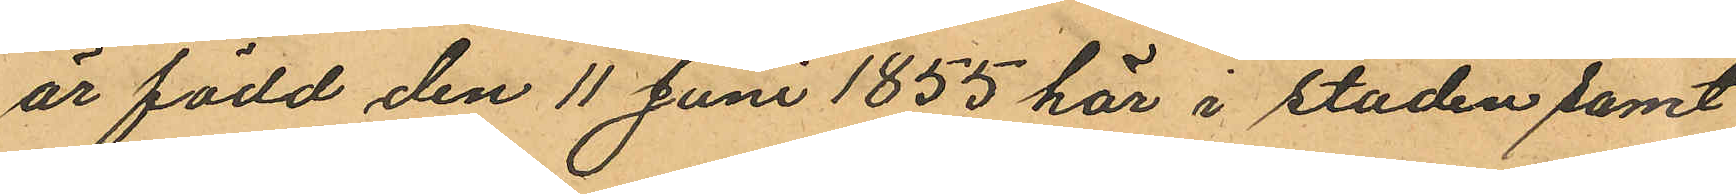är född den 11 Juni 1855 här i staden samt
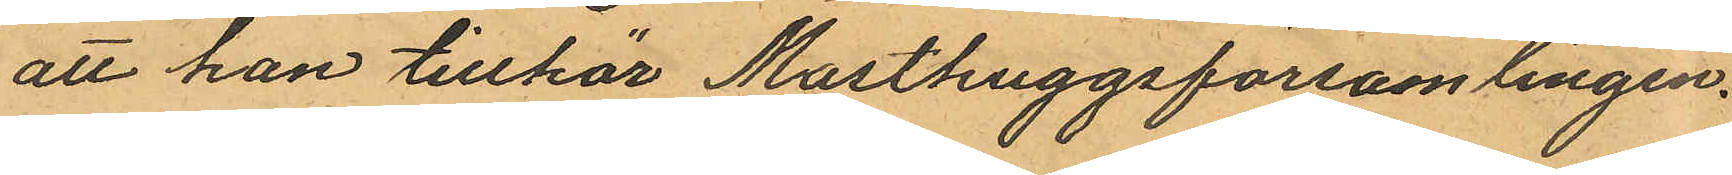att han tillhör Masthuggsförsamlingen.
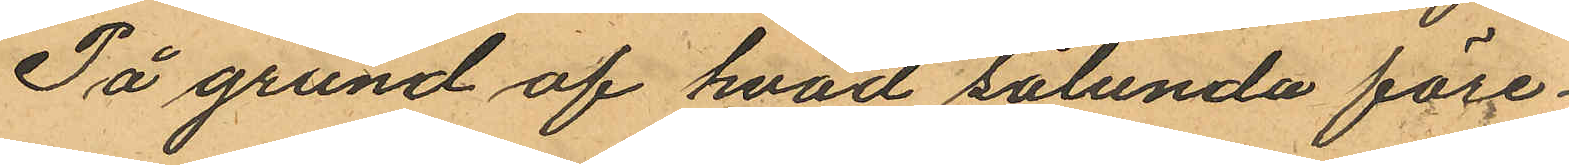På grund af hvad sålunda före¬
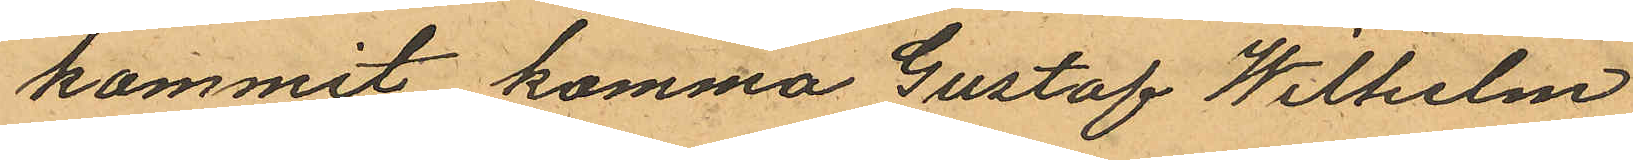kommit komma Gustaf Wilhelm
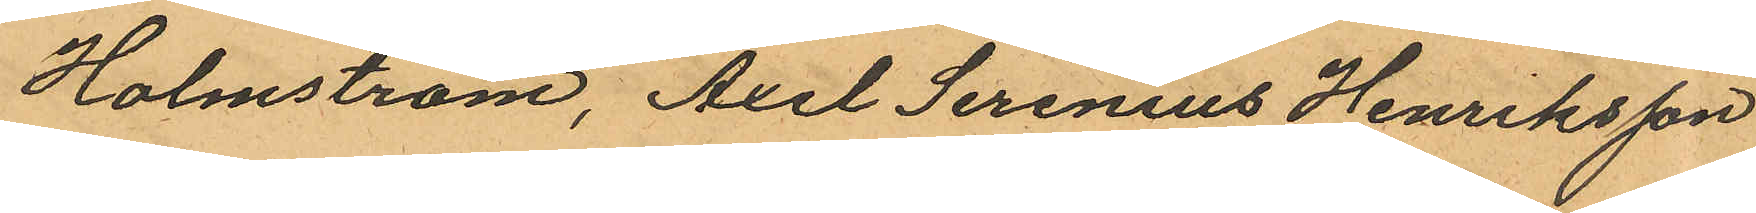Holmström, Axel Serenius Henriksson
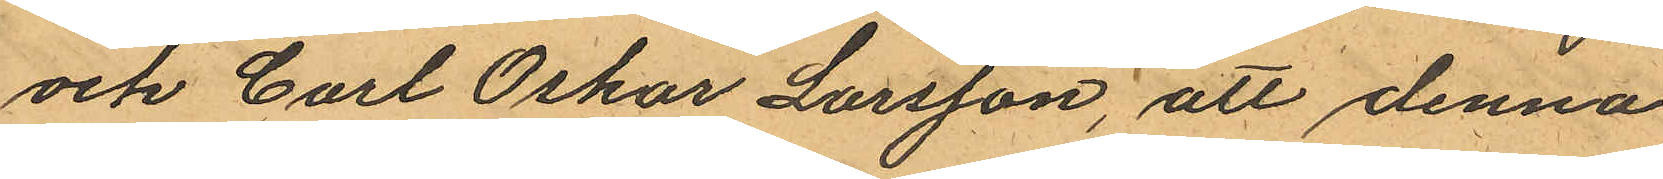och Carl Oskar Larsson, att denna
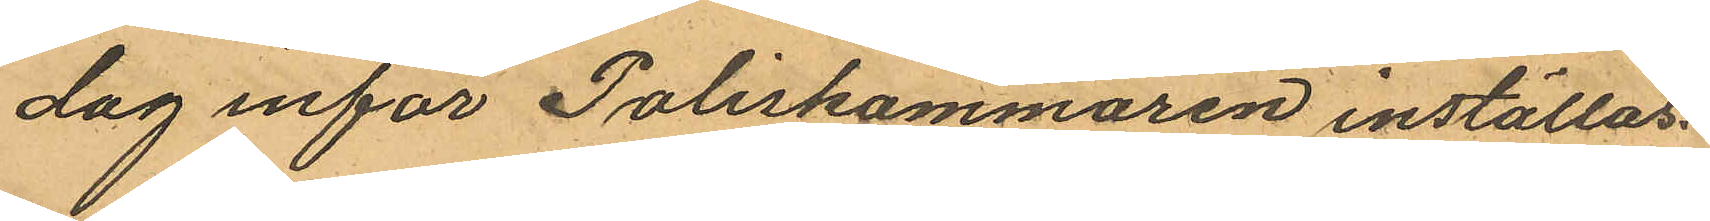dag inför Poliskammaren inställas.
